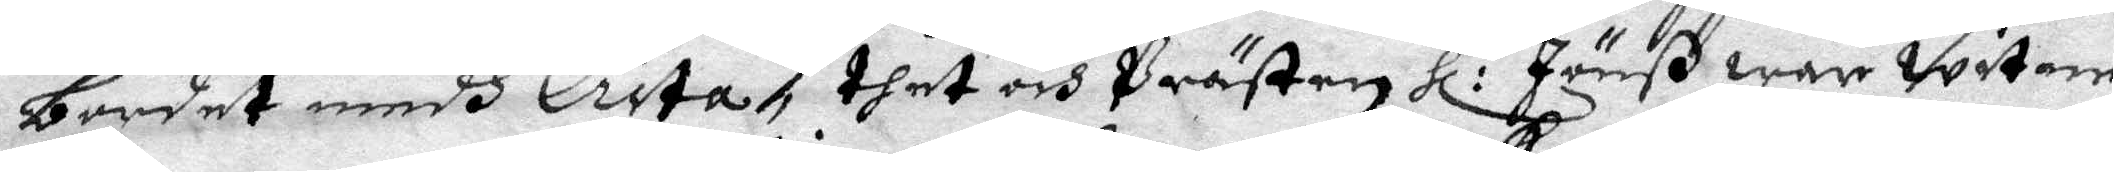bordet medh Crita, dhet och Prästen Hl:r Jönß war witne
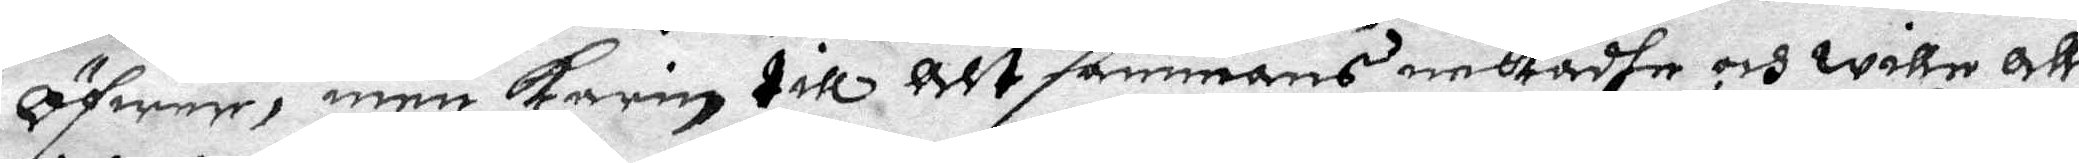öfwer, men karin till alt sammans nekadhe, och wille allz
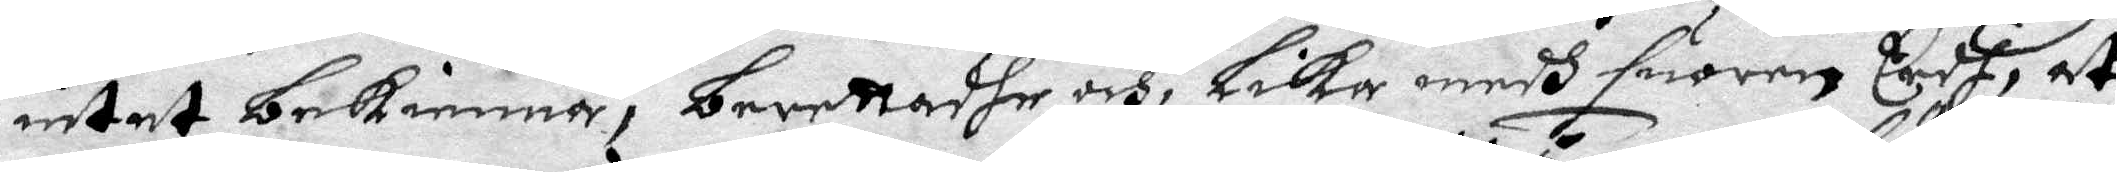intet bekienna, berettandhe och, Lika medh suoren eedh, at
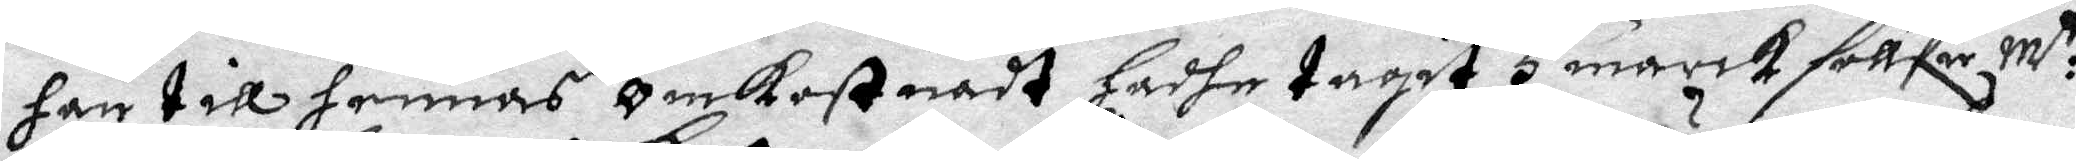han till hennes omkostnadt hadhe tagit 5 mark söllfw M:tt
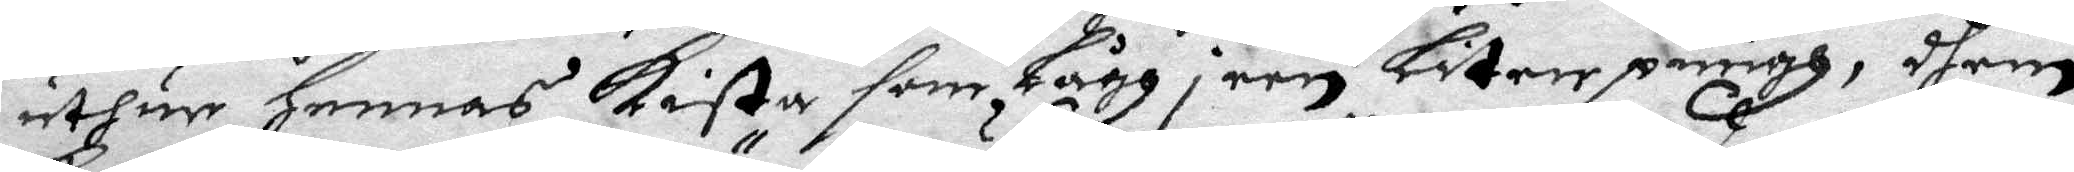uthur hennes kista, som lågh i een liten pungh, dhem
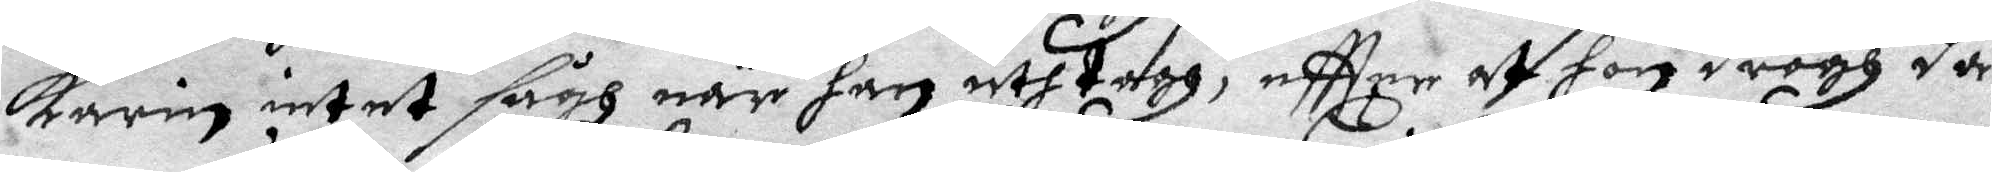karin intet sågh när han uthtogh, eftter at hon drogh då
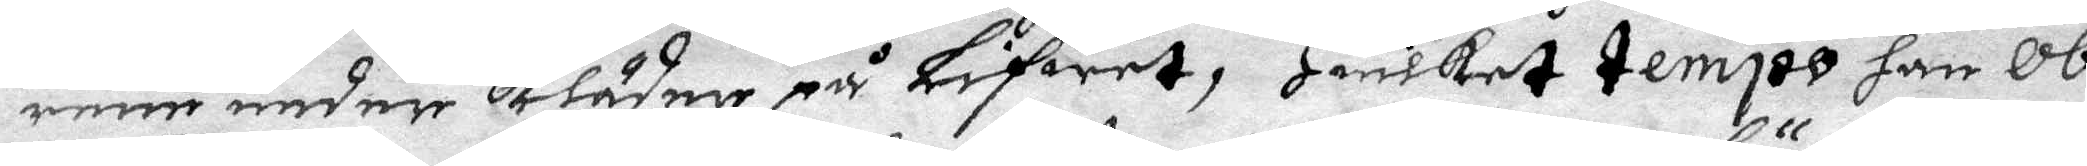rene under Kläder på Lifwet, Hwilket tempo han ob¬
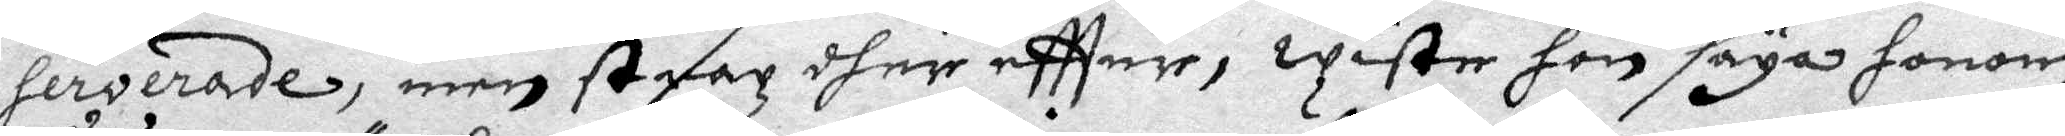serverade, men strax dher eftter, wiste hon säya honom
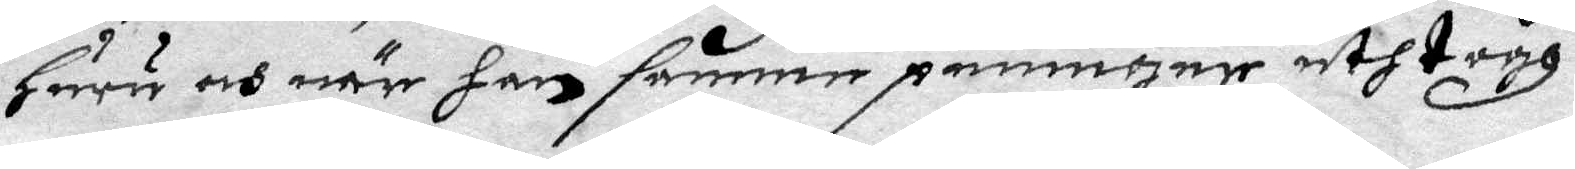huru och när han samma penningar uthtogh.
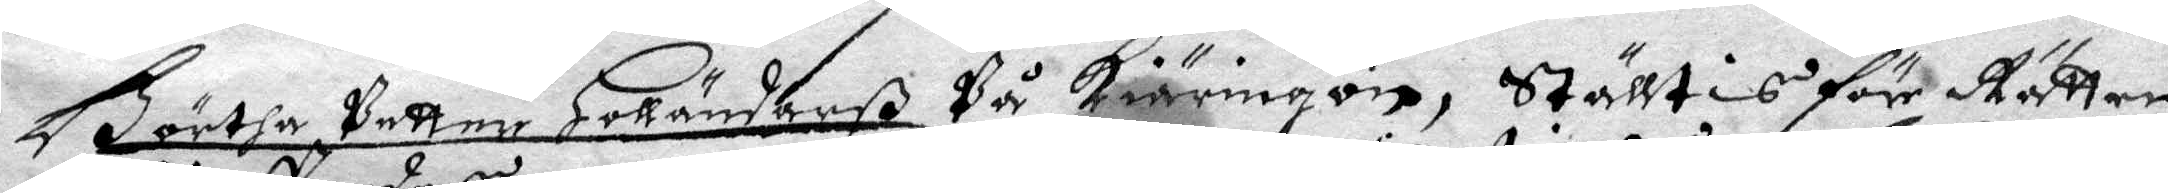Börta Petter Holländarß På Kiäringön, ställtis för Rätten
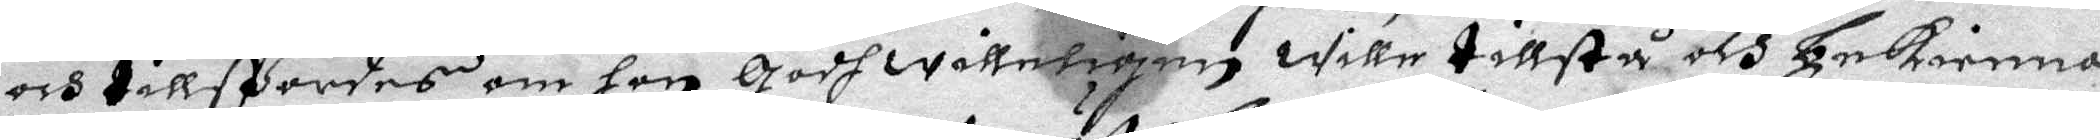och tillspordes om hon godwilleligen wille tillstå och bekienna
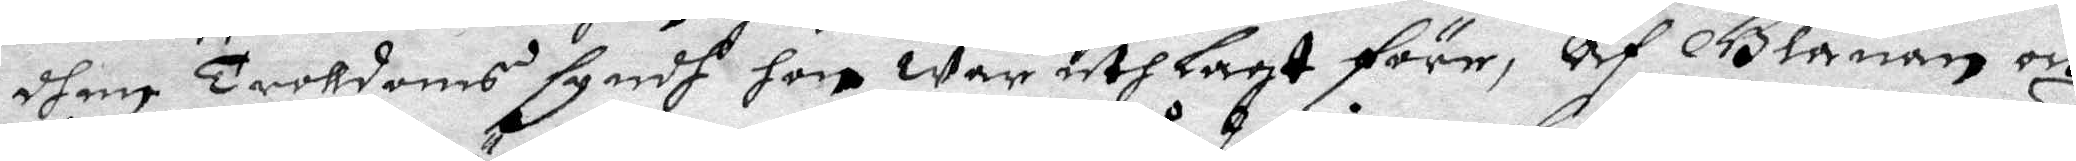dhen Troldoms syndh hon war uthlagt före, af Blanan och
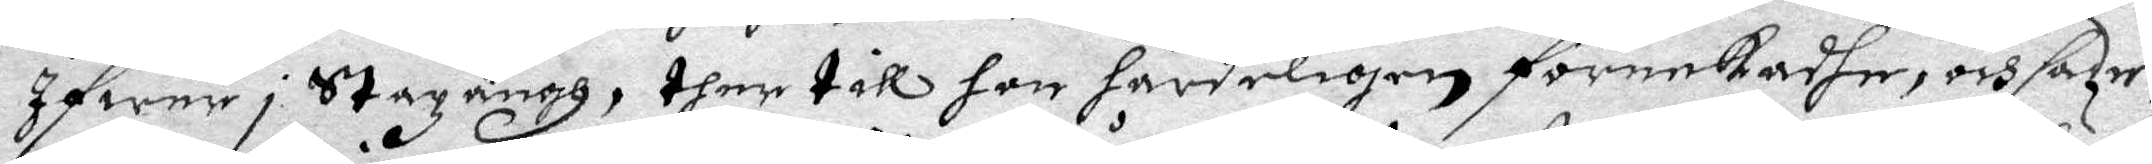Ifwer i Stazängh, ther till hon hårdeligen förnekadhe, och sade
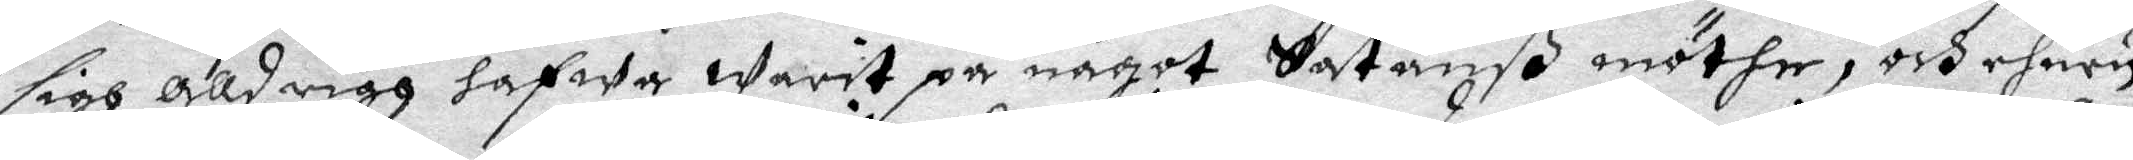sigh aldrigh hafwa warit på något Satanß möthe, och ehuru
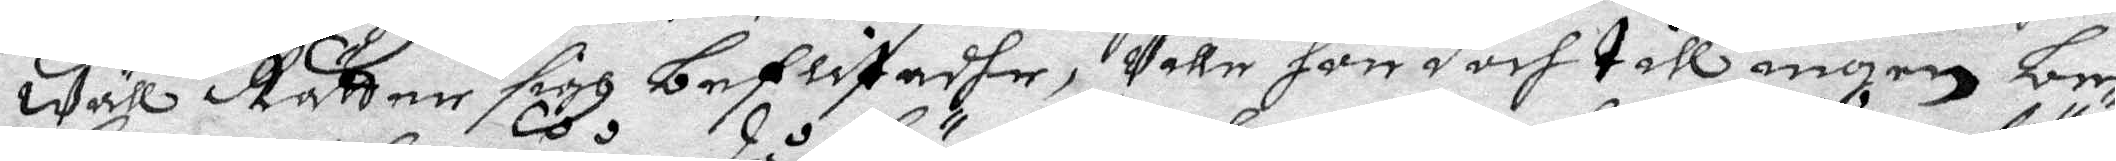wäll Rätten sigh beflitadhe, Ville hon doch till ingen be¬
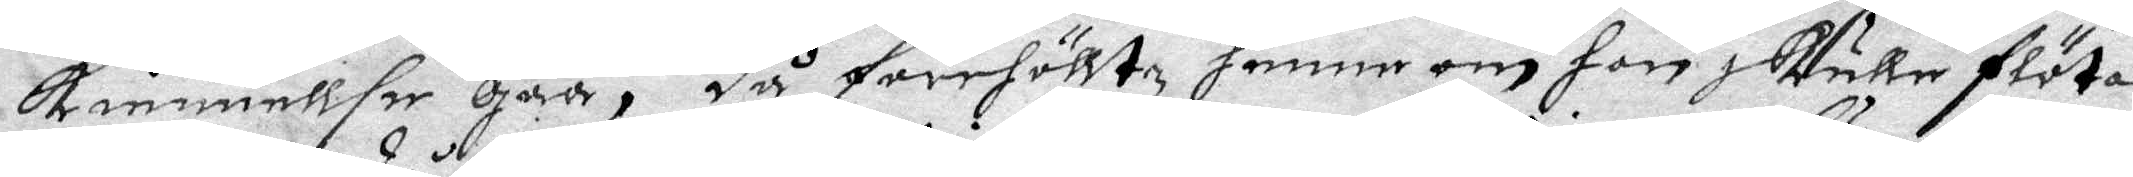kiennelse gåå, då förehölltz henne om hon skulle flötas
